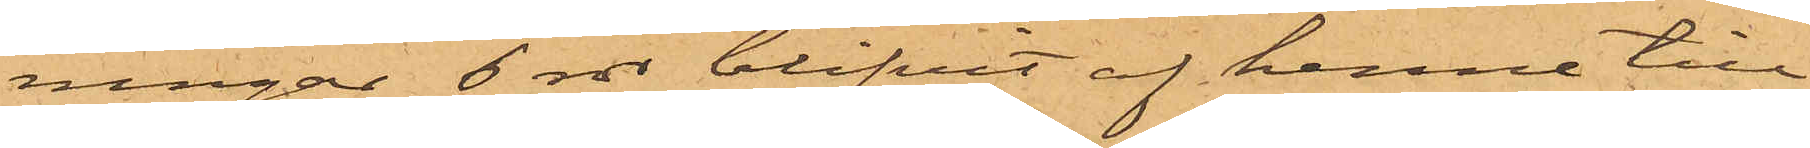ningar 6 rdr blifvit af henne till¬
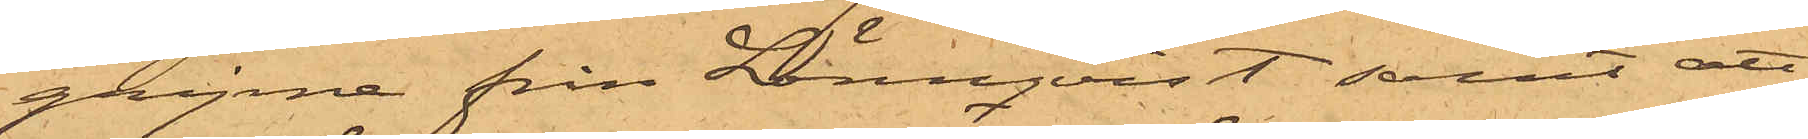gripne från Lönnqvist samt att
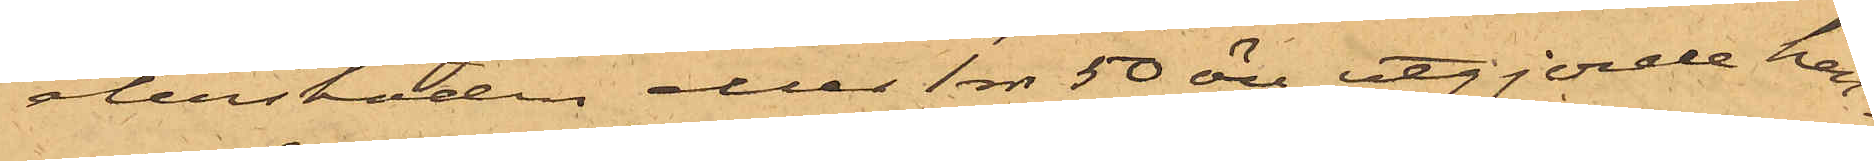återstoden eller 1 rdr 50 öre utgjorde hen¬
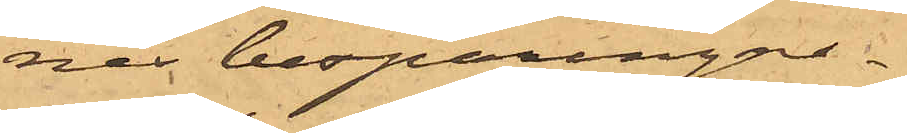nes besparingar.
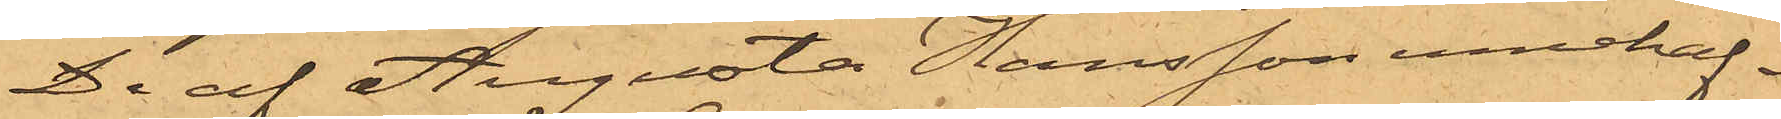De af Augusta Hansson innehaf¬
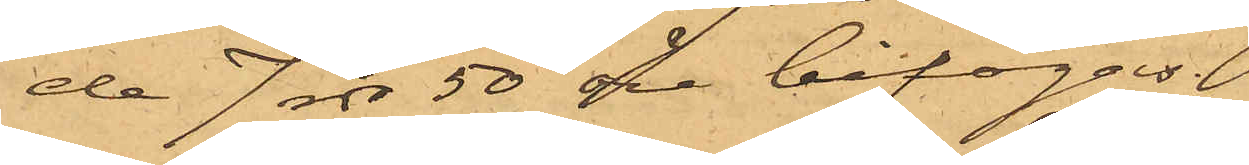de 7 rdr 50 öre bifogas.
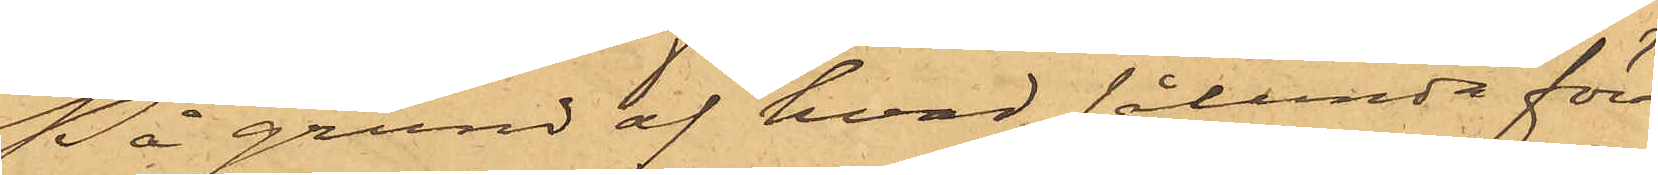På grund af hvad sålunda för¬
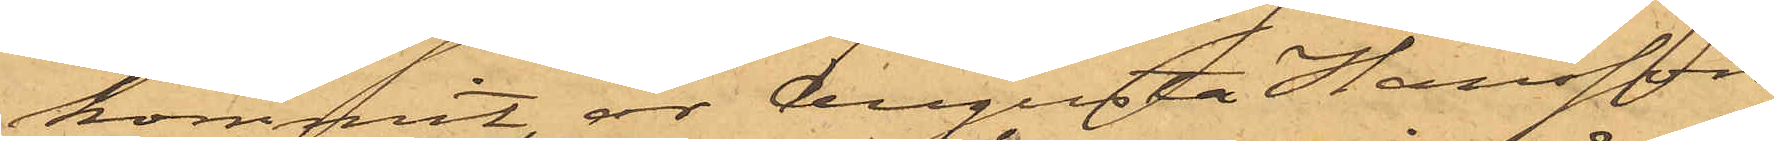kommit, är Augusta Hansson
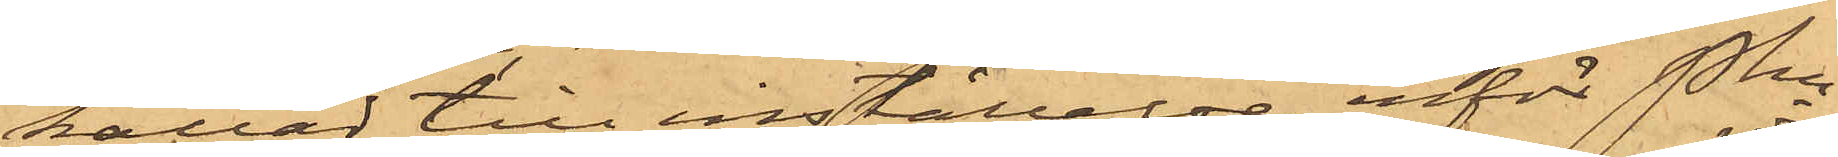kallad till inställelse inför Pkn
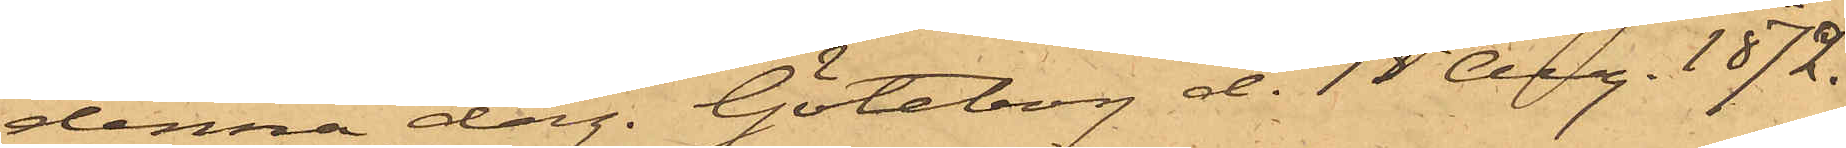denna dag. Göteborg d. 15 Aug. 1872.
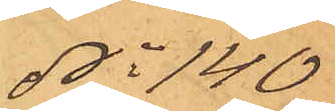No 140
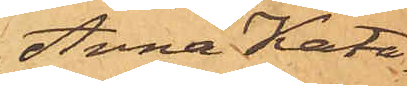Anna Kata¬
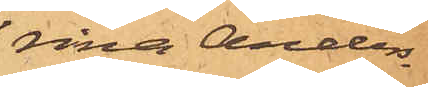rina Anders¬
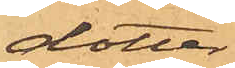dotter.
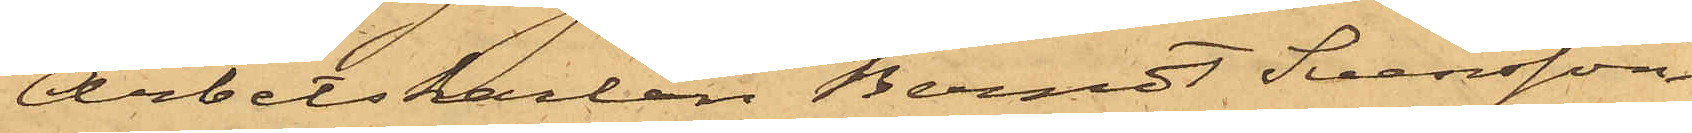Arbetskarlen Berndt Svensson
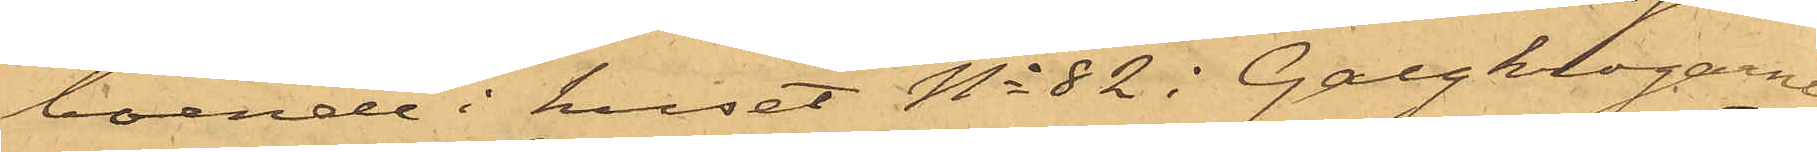boende i huset No 82 i Galgkrogarne,
